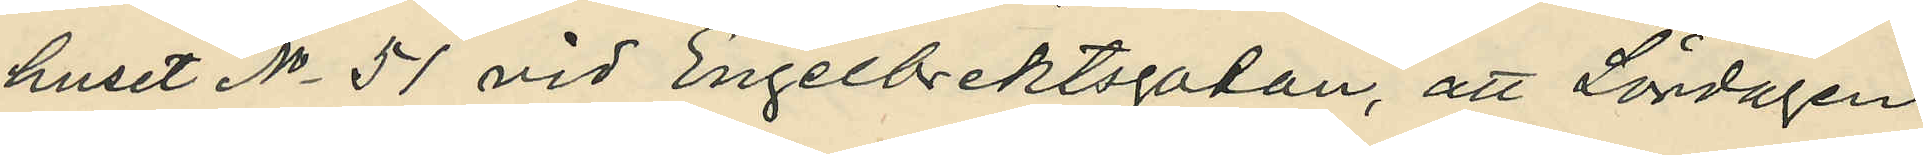huset No 51 vid Engelbrektsgatan, att Lördagen
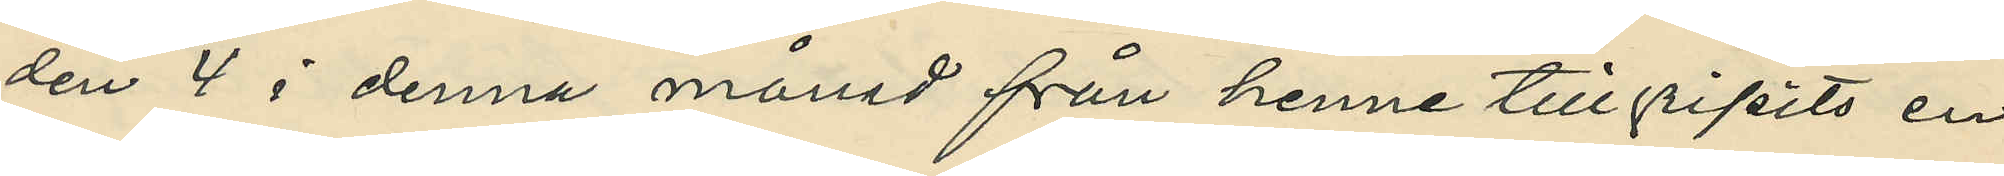den 4 i denna månad från henne tillgripits en 
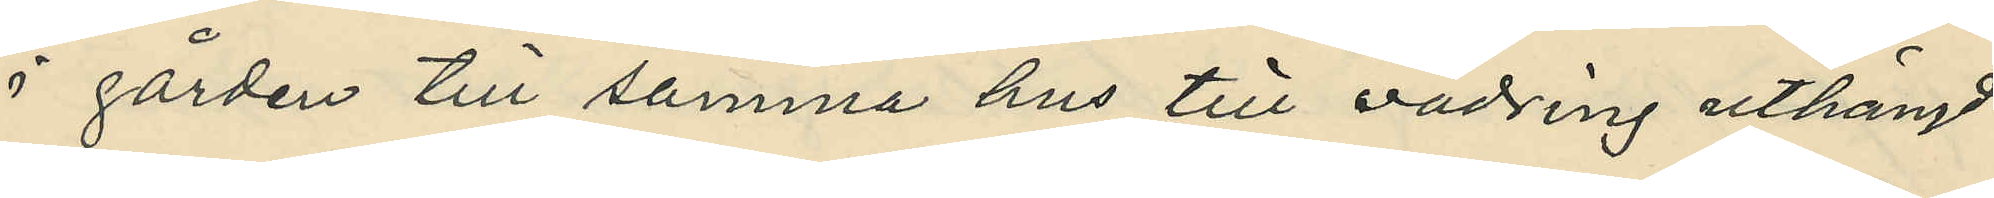i gården till samma hus till vädring uthängd
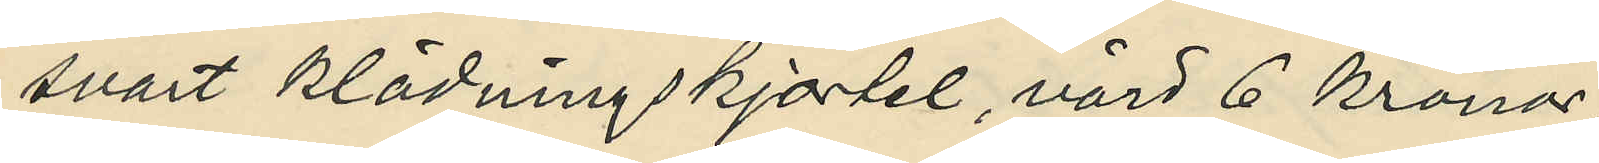svart klädningskjortel, värd 6 kronor;
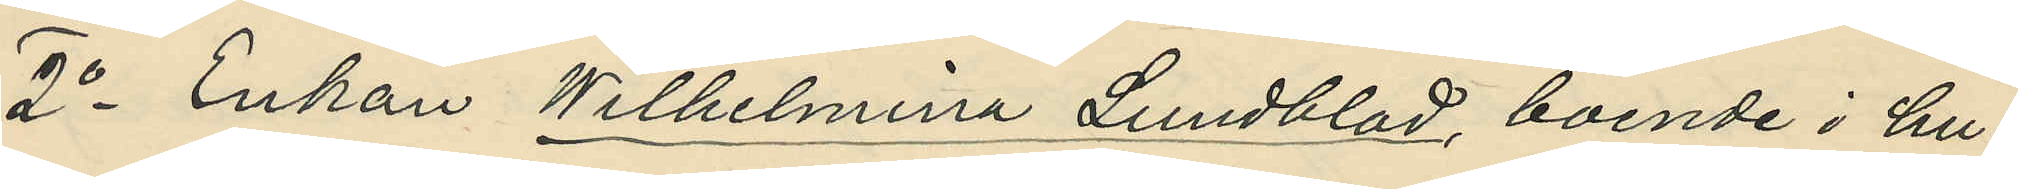2o Enkan Wilhelmina Lundblad, boende i hu¬
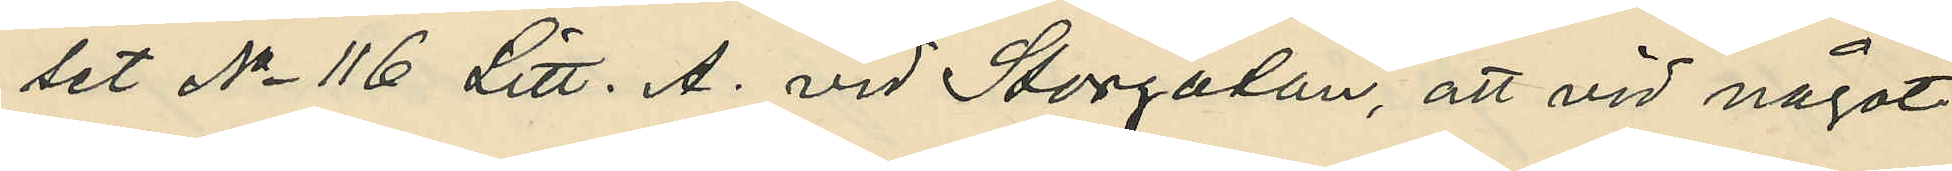set No 116 Litt. A. vid Storgatan, att vid något
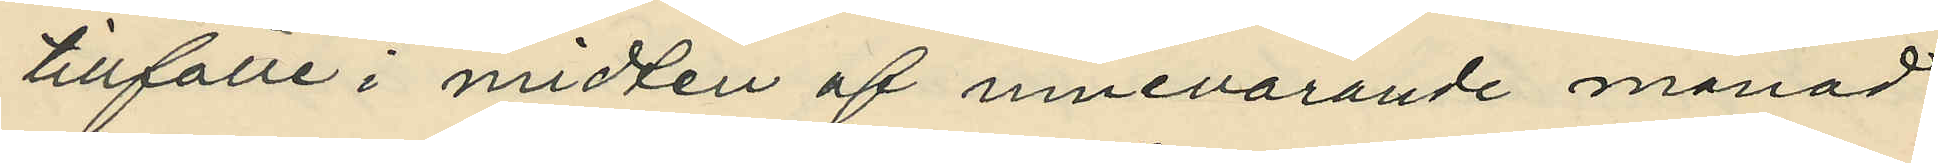tillfälle i midten af innevarande månad
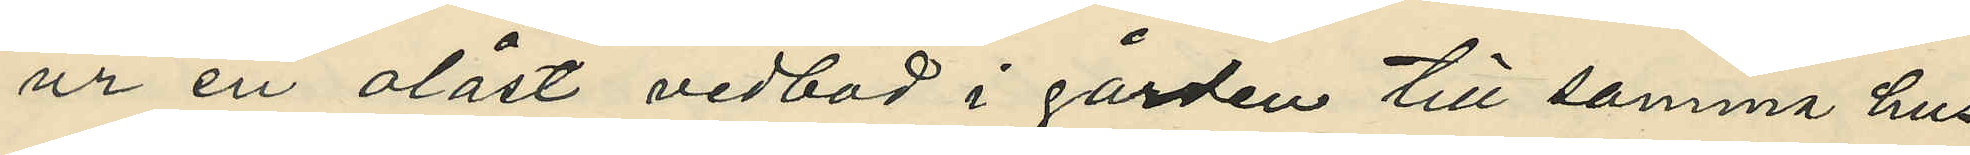ur en olåst vedbod i gården till samma hus
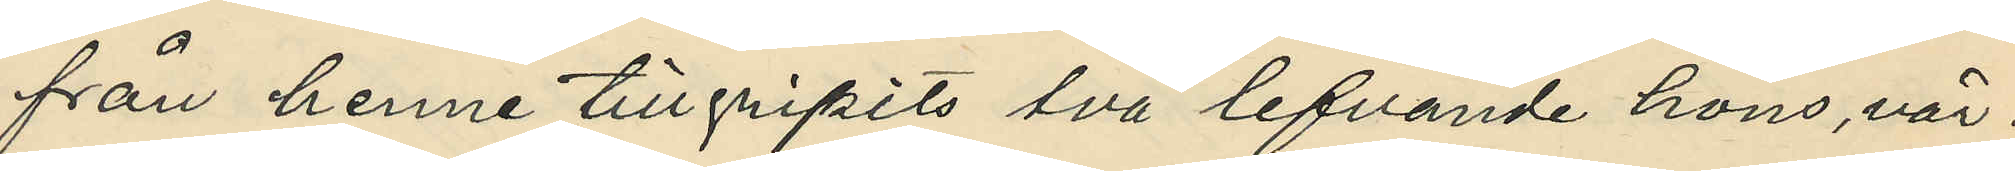från henne tillgripits två lefvande höns, vär¬
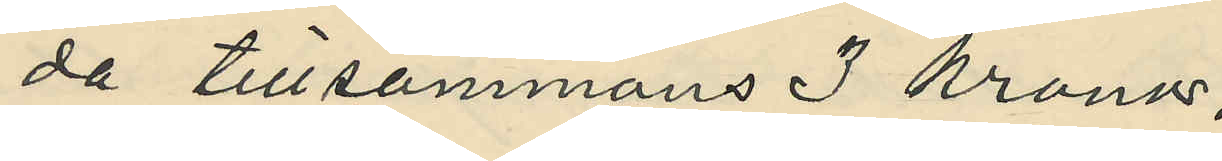da tillsammans 3 kronor;
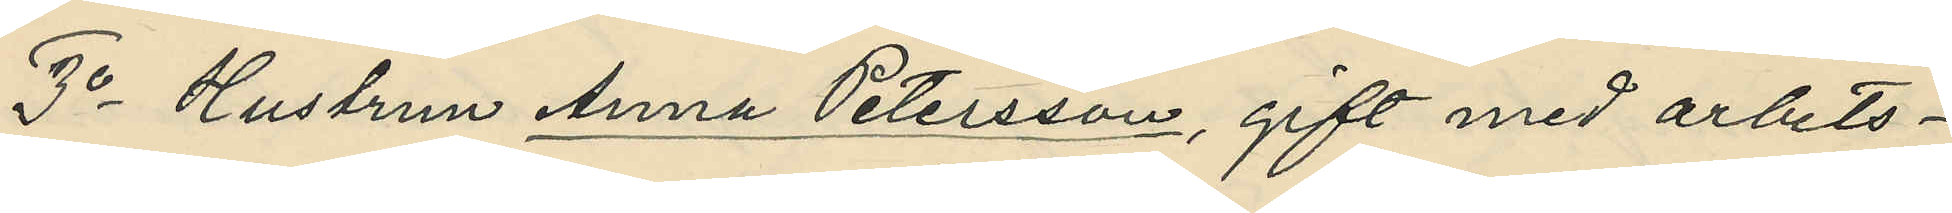3o Hustrun Anna Petersson, gift med arbets¬
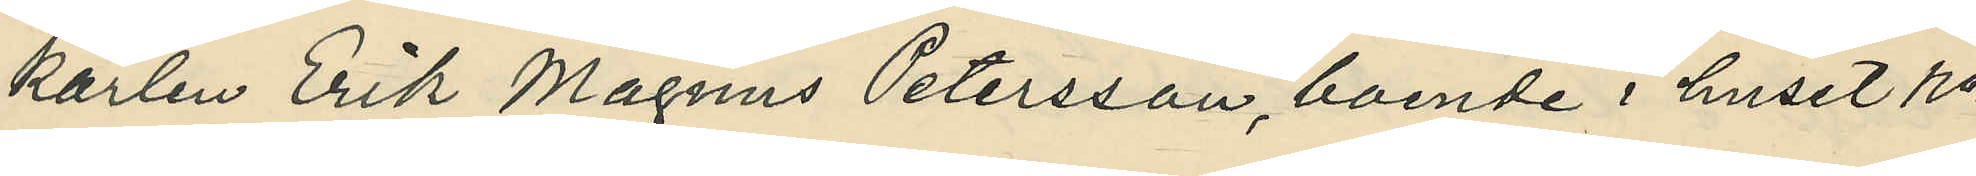karlen Erik Magnus Petersson, boende i huset No
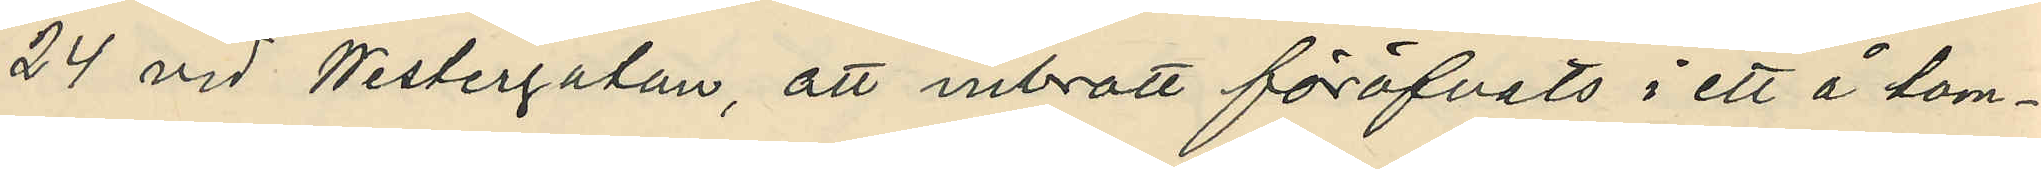24 vid Westergatan, att inbrott föröfvats i ett å tom¬
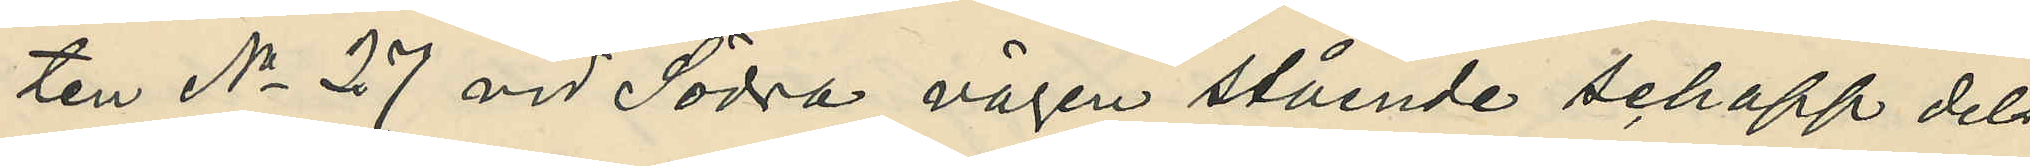ten No 27 vid Södra vägen stående schapp dels
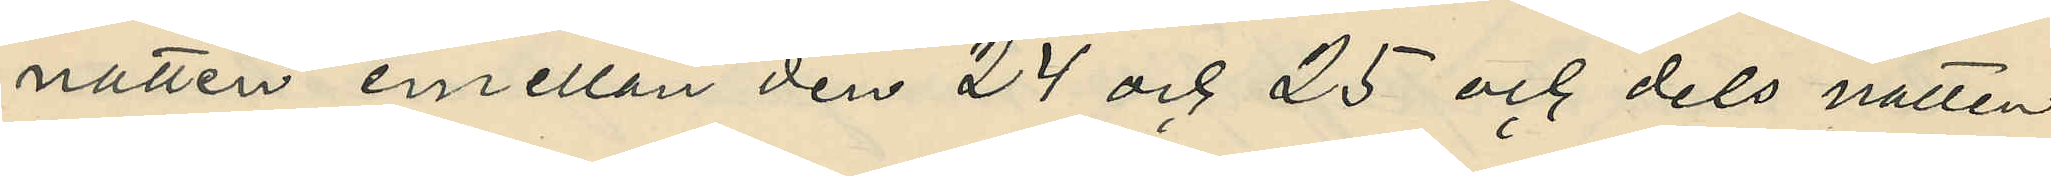natten emellan den 24 och 25 och dels natten
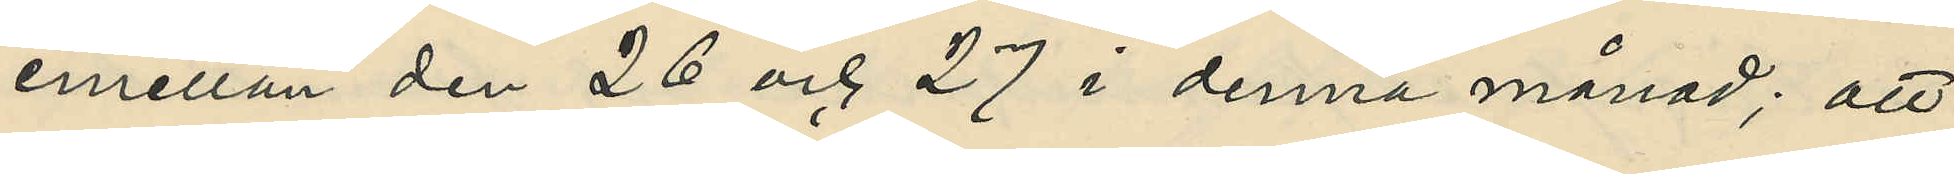emellan den 26 och 27 i denna månad; att
